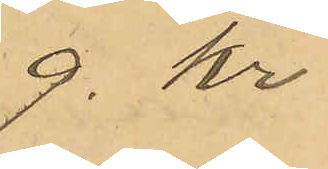9. Kr
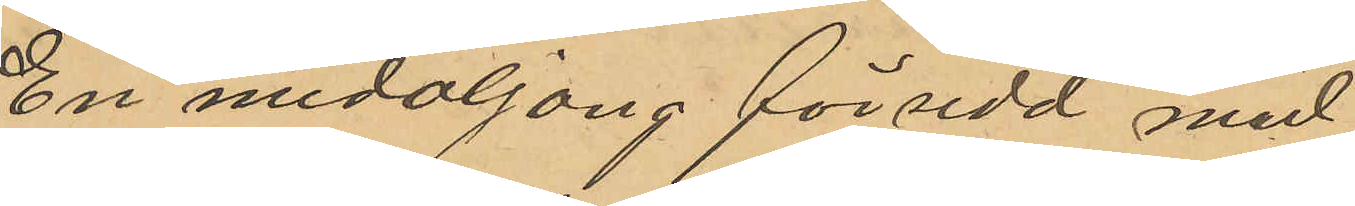En medaljong försedd med
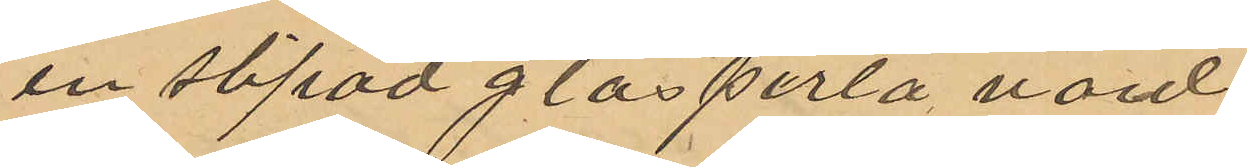en slipad glasperla, värd
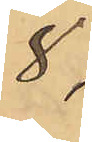8,
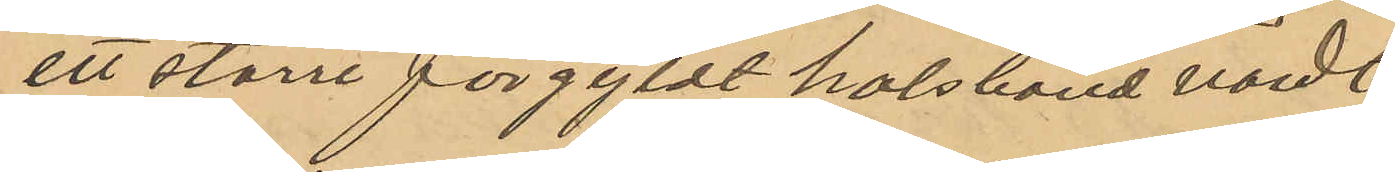ett större förgyldt halsband värdt
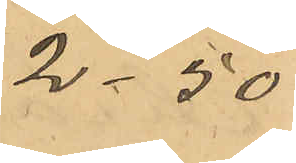2,50
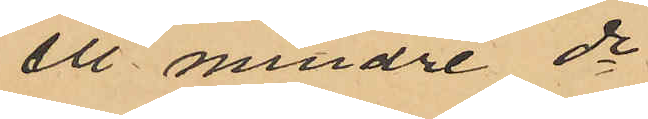ett mindre do
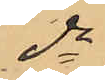do
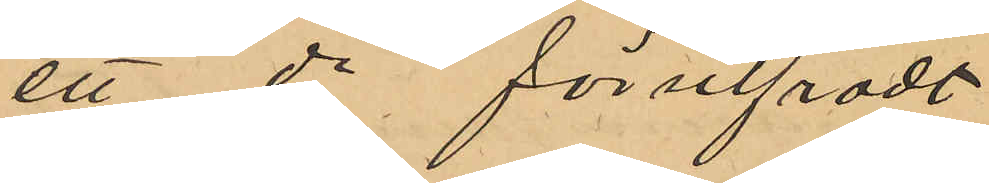ett do försilfradt
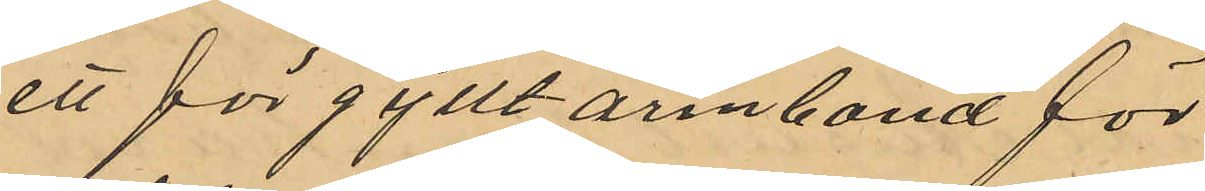ett förgyllt armband för
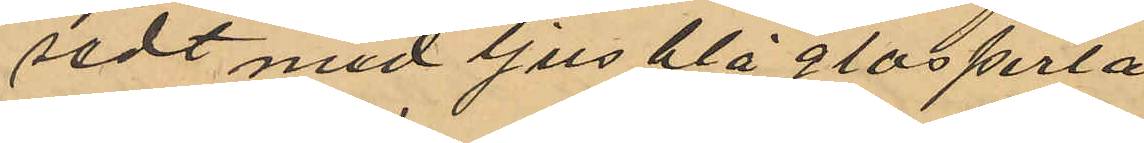sedt med ljus blå glasperla
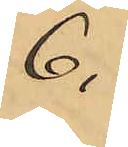6.
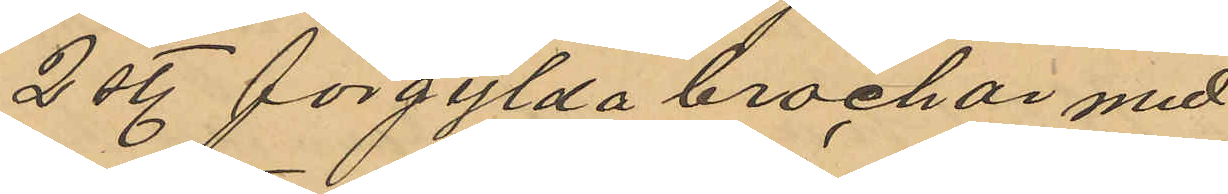2 st. förgylda brochar med
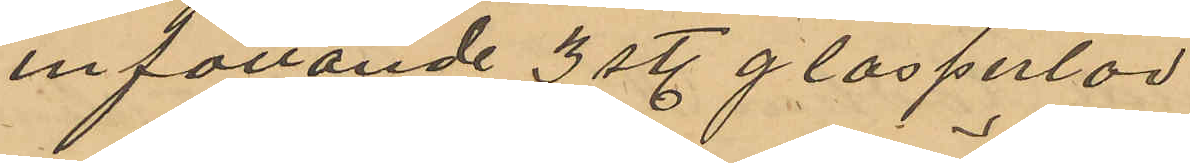insättande 3 st. glasperlor
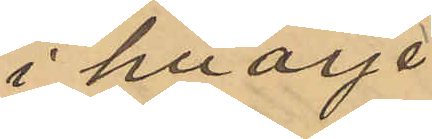i hvarje
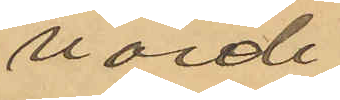värde
